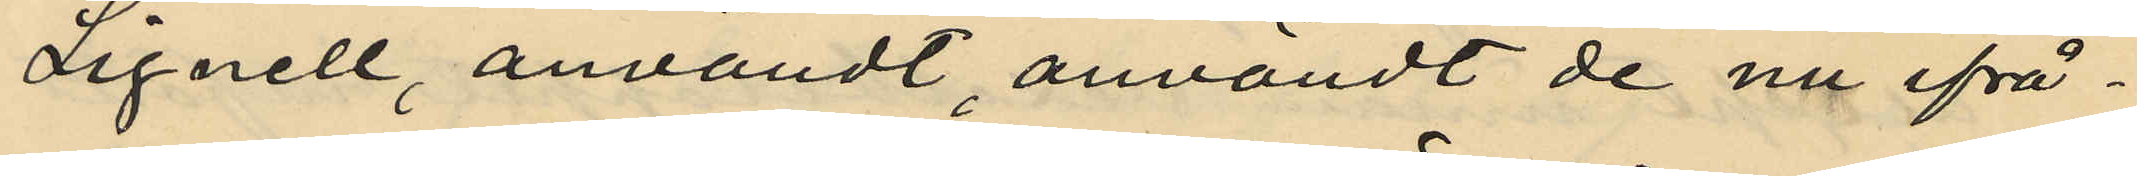Lignell, användt, användt de nu ifrå¬
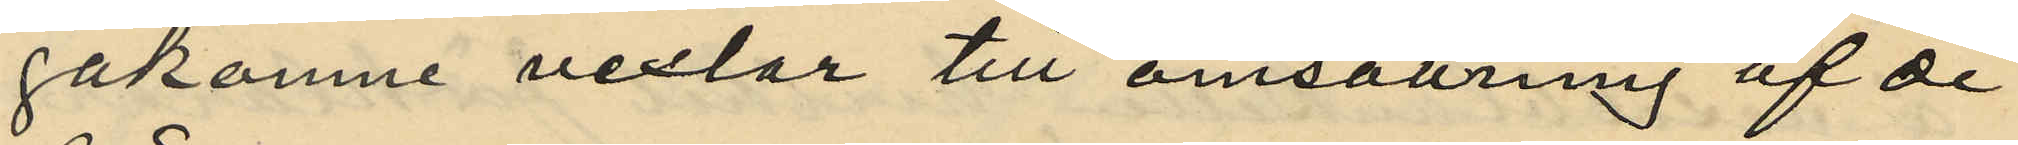gakomne vexlor till omsättning af de
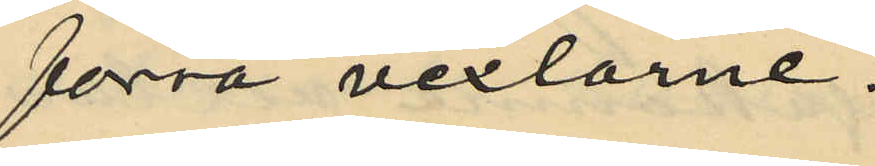förra vexlarne.
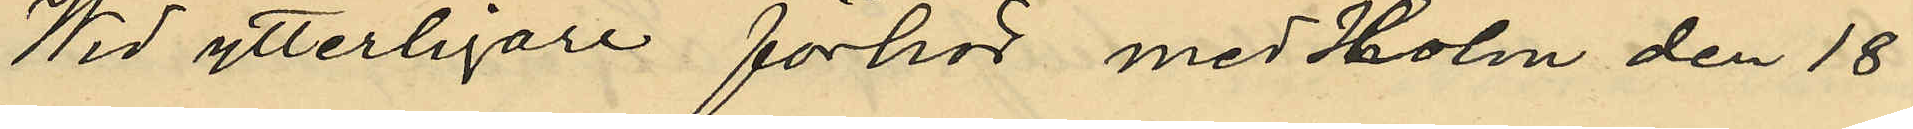Wid ytterligare förhör med Holm den 18
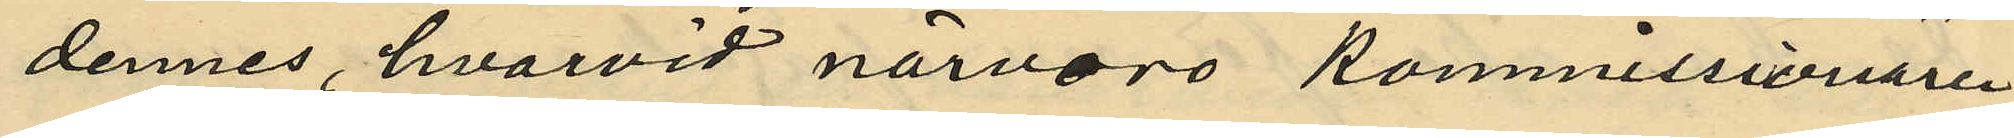dennes, hvarvid närvaro Kommissionären
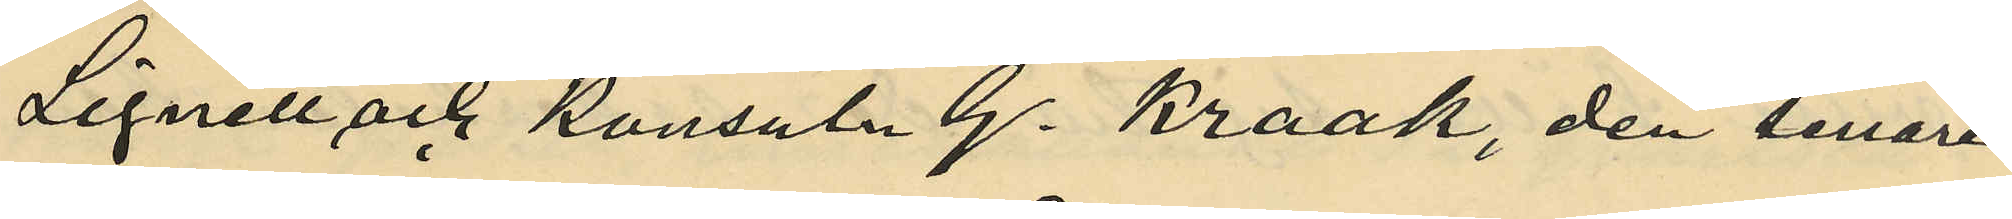Lignell och Konsuln G. Kraak, den senare
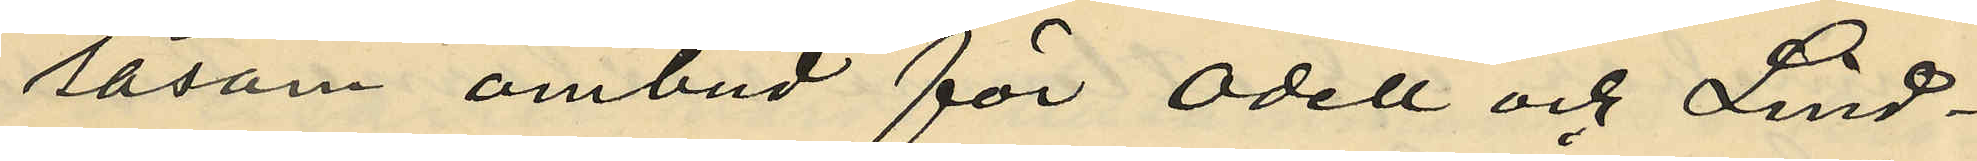såsom ombud för Odell och Lind¬
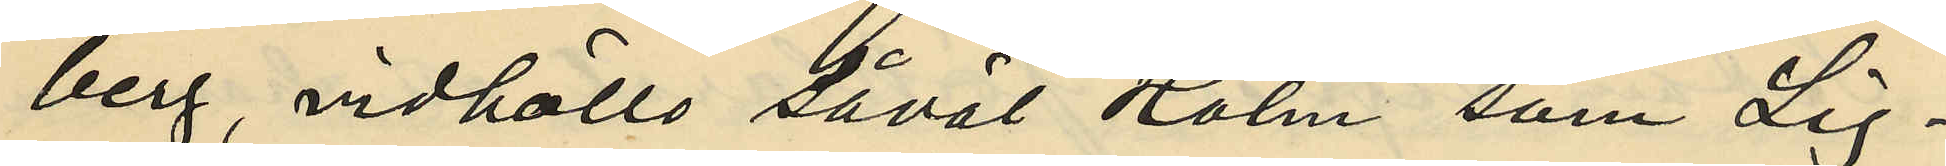berg, vidhöllo såväl Holm, som Lig¬
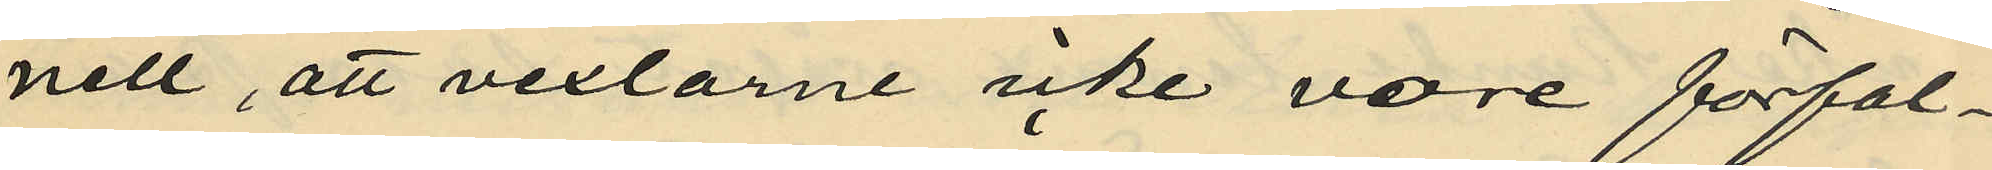nell, att vexlarne icke vore förfal¬
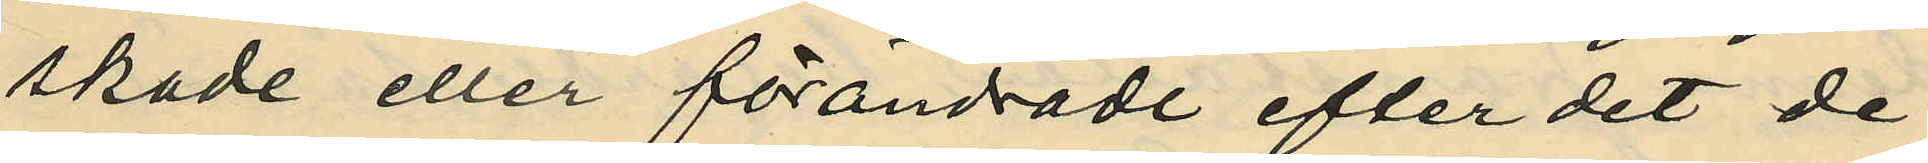skade eller förändrade efter det de
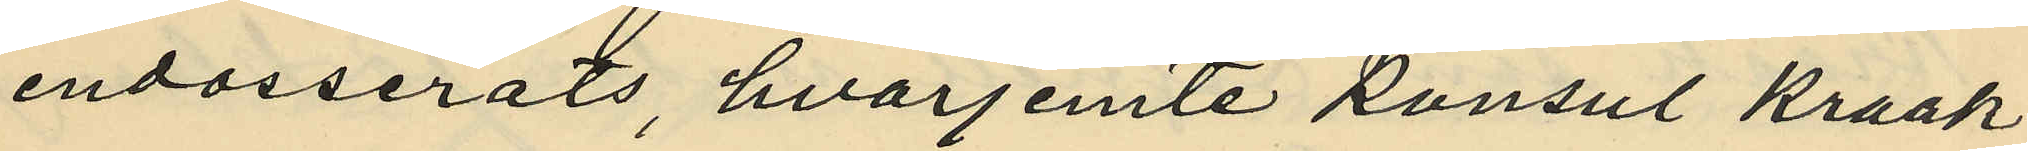endosserats, hvarjemte konsul Kraak
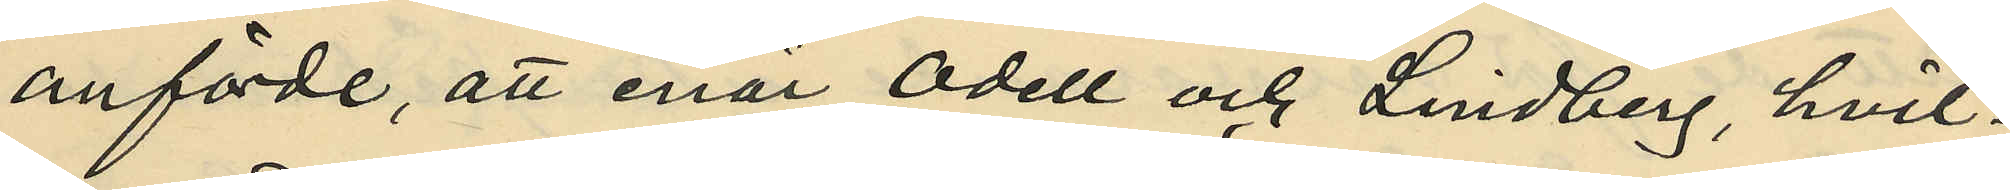anförde, att enär Odell och Lindberg, hvil¬
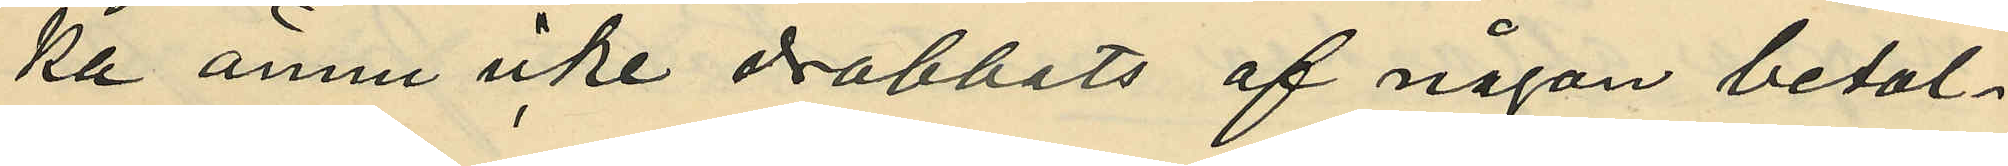ka ännu icke drabbats af någon betal¬
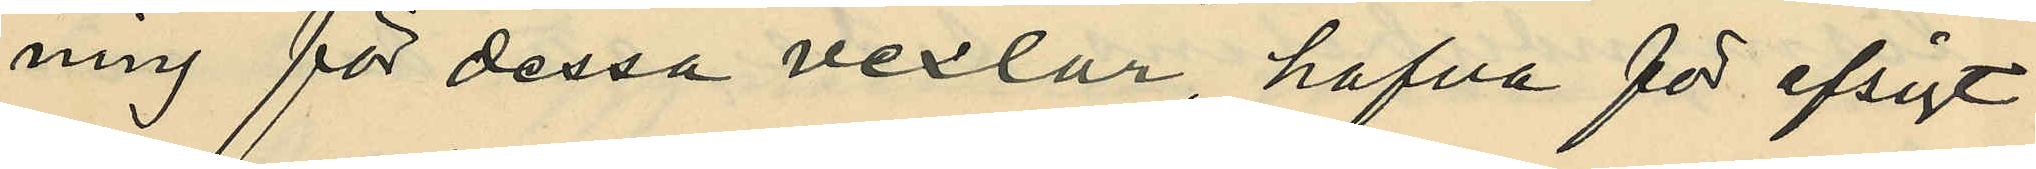ning för dessa vexlar, hafva för afsigt
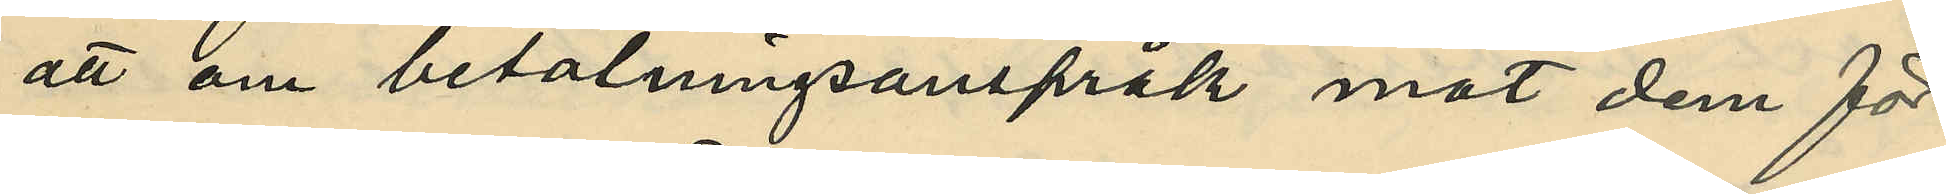att om betalningsanspråk mot dem för
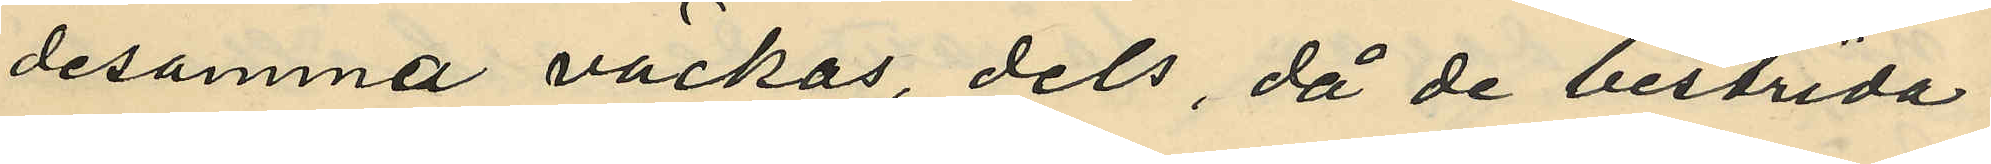desamma väckas, dels, då de bestrida
